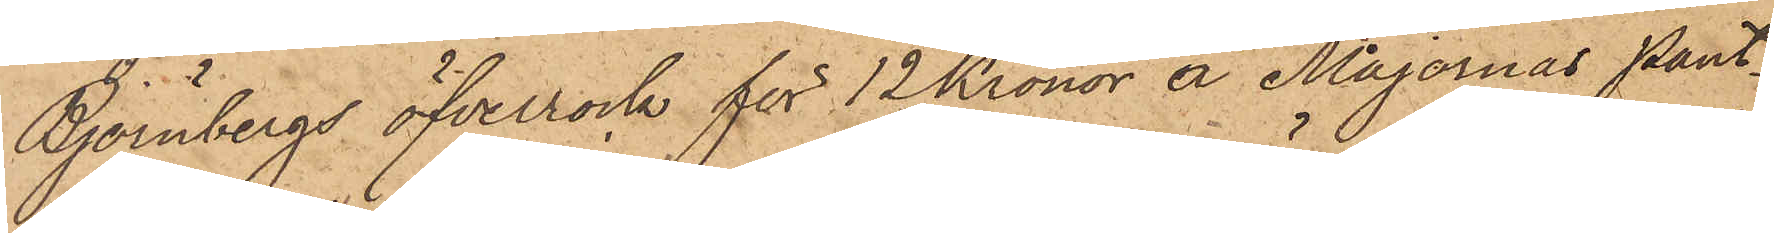Björnbergs öfverrock för 12 Kronor å Majornas Pant¬
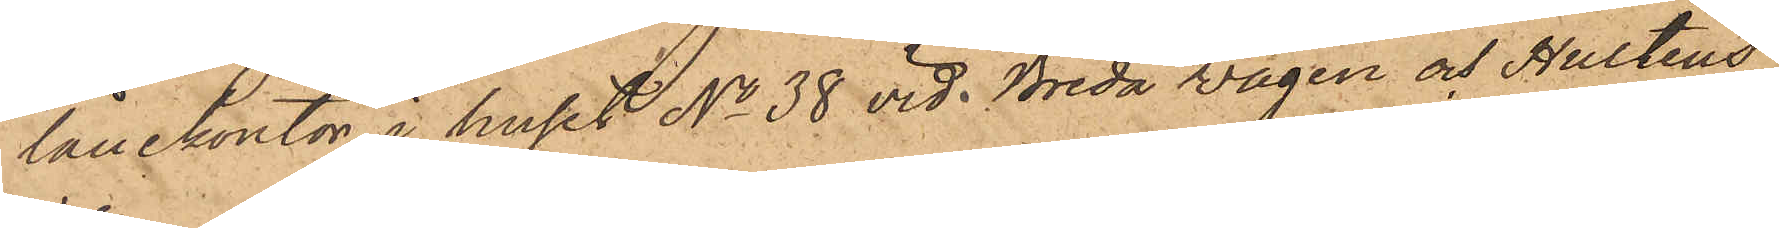lånekontor i huset No 38 vid Breda vägen och Hulténs
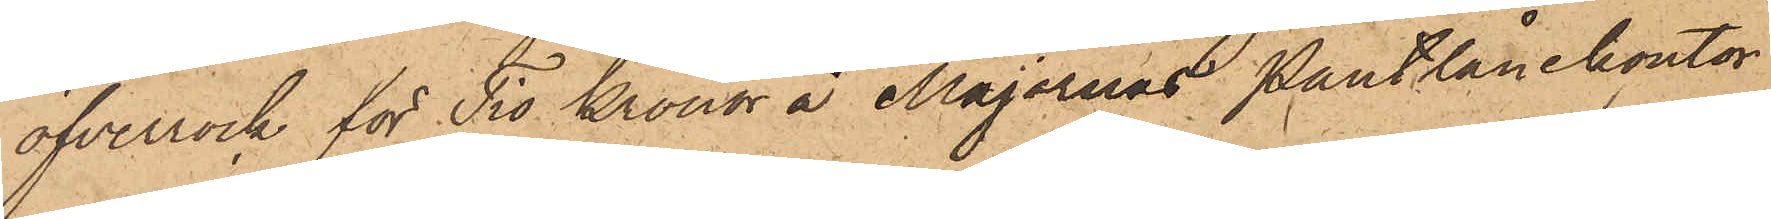öfverrock för Tio Kronor å Majornas Pantlånekontor
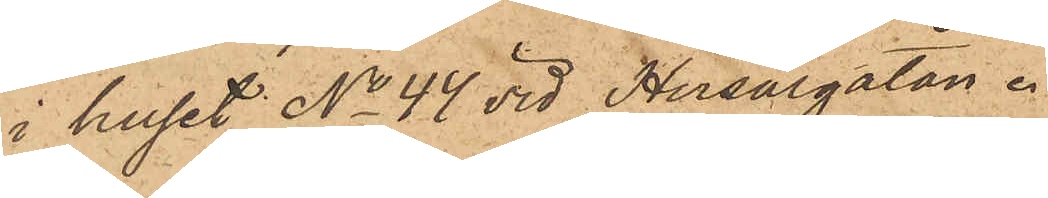i huset No 44 vid Husargatan.
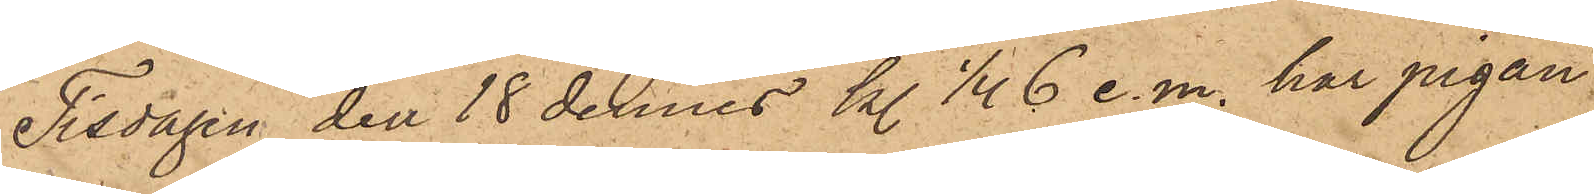Tisdagen den 18 dennes kl. 1/4 6 e. m. har pigan
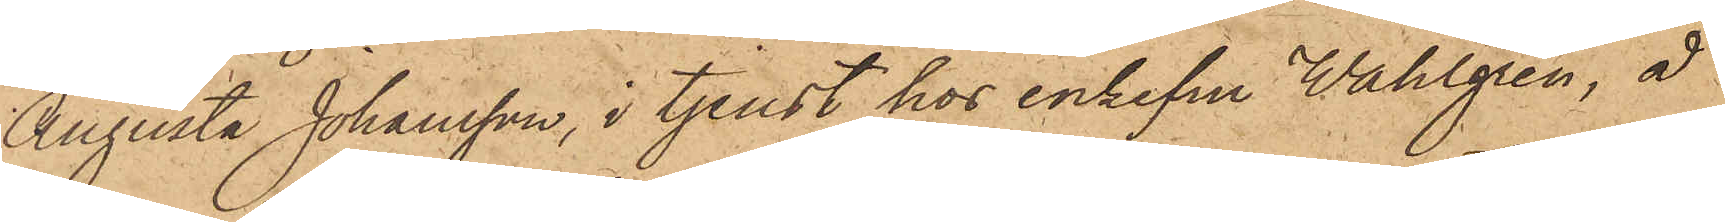Augusta Johansson, i tjenst hos enkefru Wahlgren, å
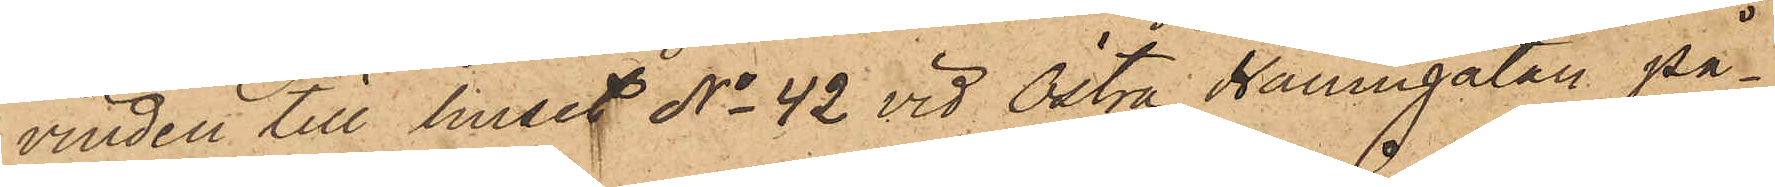vinden till huset No 42 vid Östra Hamngatan på¬
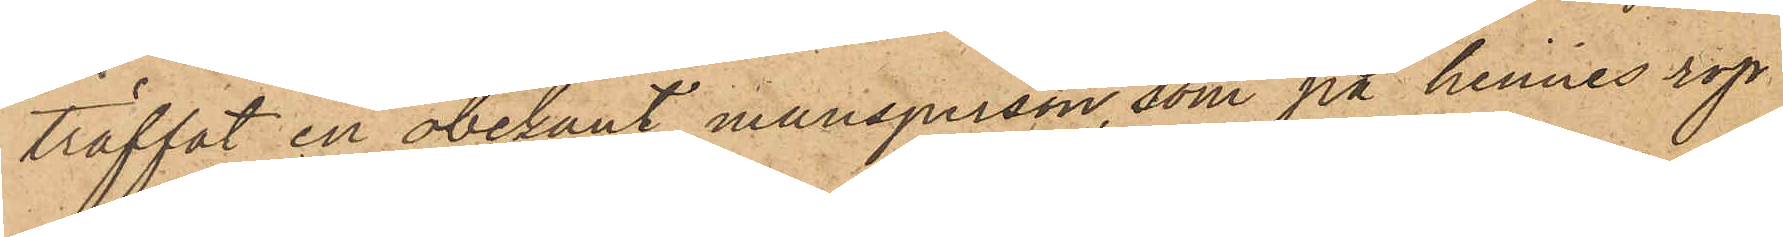träffat en obekant mansperson, som på hennes rop
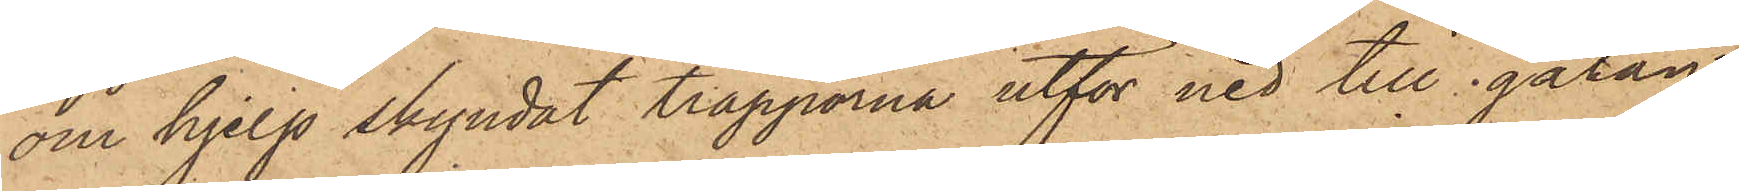om hjelp skyndat trapporna utför ned till gatan,
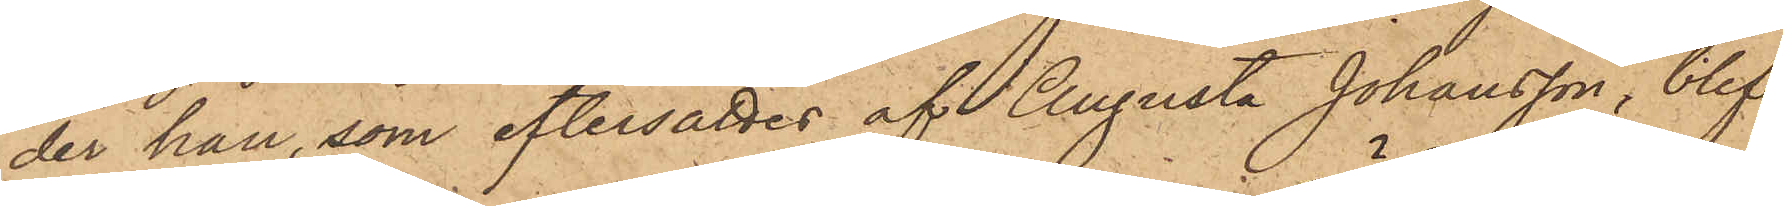der han, som eftersattes af Augusta Johansson, blif¬
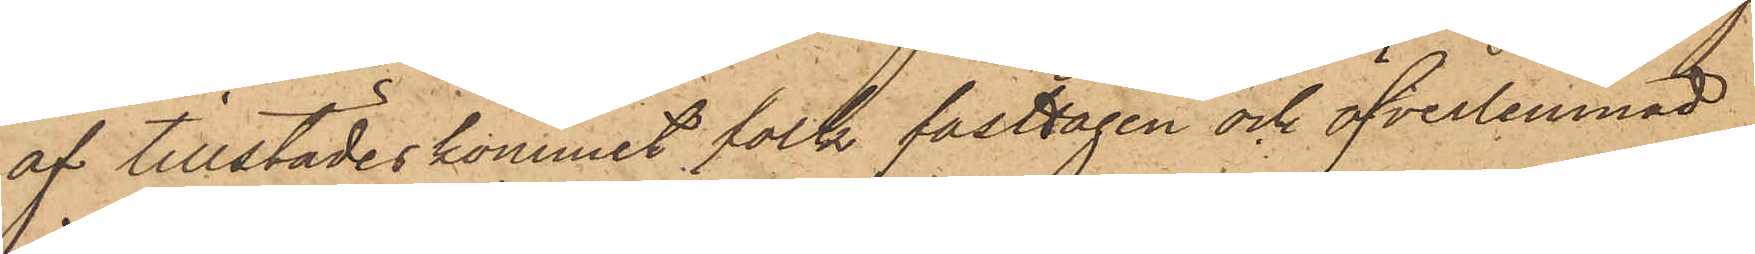af tillstädeskommet folk fasttagen och öfverlemnad
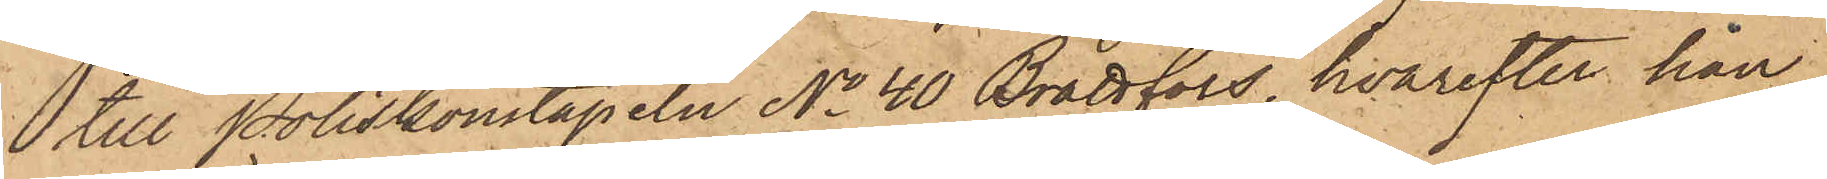till Poliskonstapeln No 40 Brattfors, hvarefter han
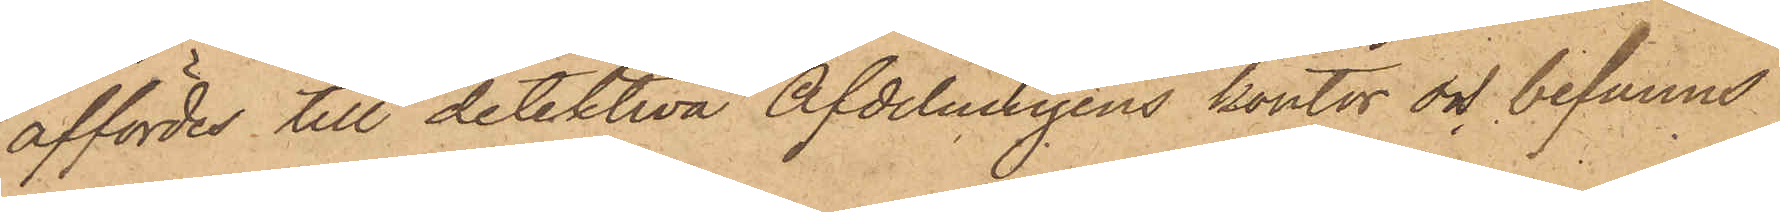affördes till detektiva Afdelningens kontor och befanns
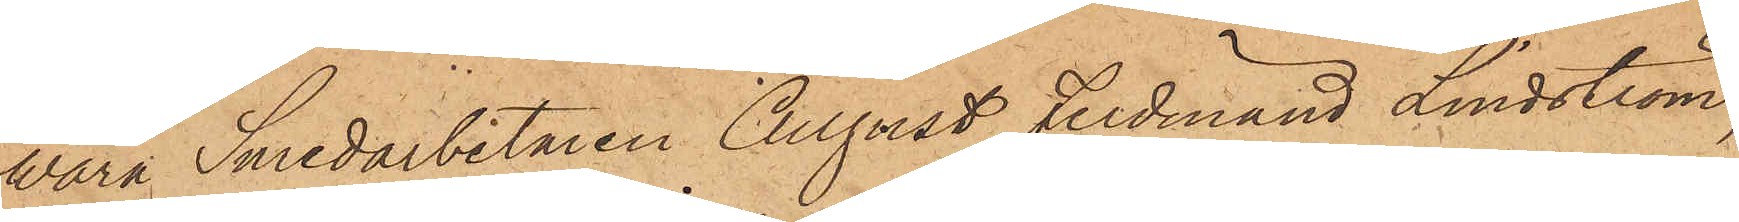wara Smedarbetaren August Ferdinand Lindström,
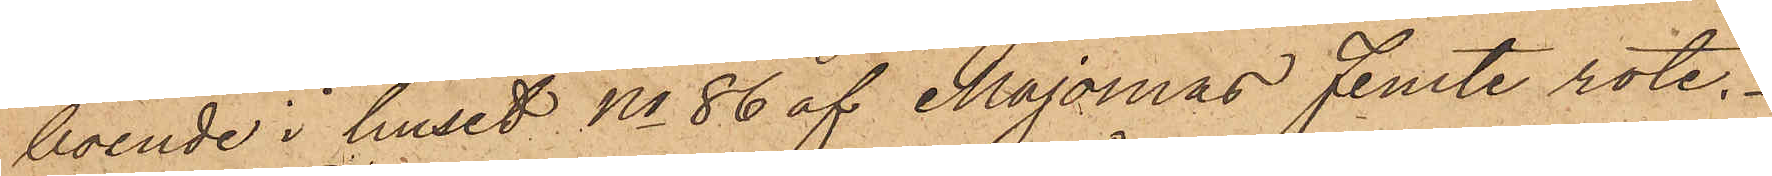boende i huset No 86 af Majornas Femte rote.
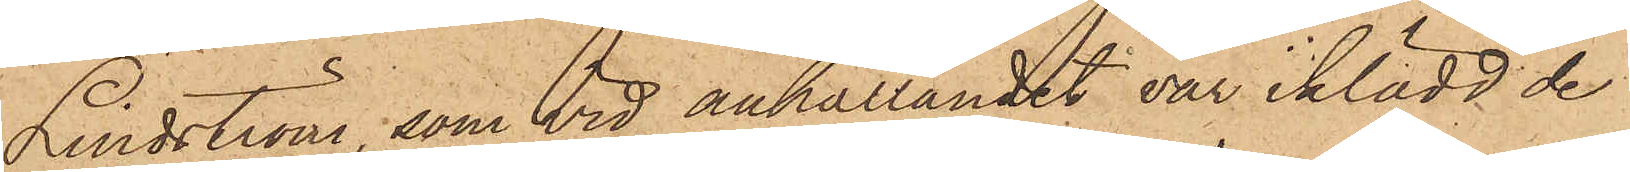Lindström, som vid anhållandet var iklädd de
